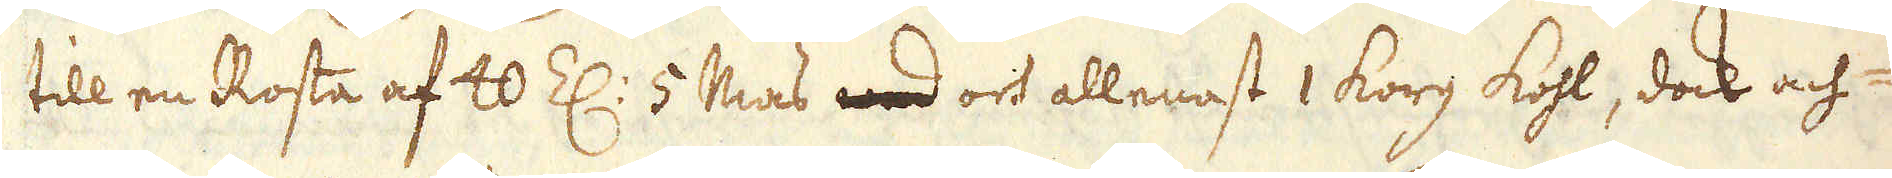till en Rosta af 40 Z: 5 Mas wed och allenast 1 korg kohl, dock ach-
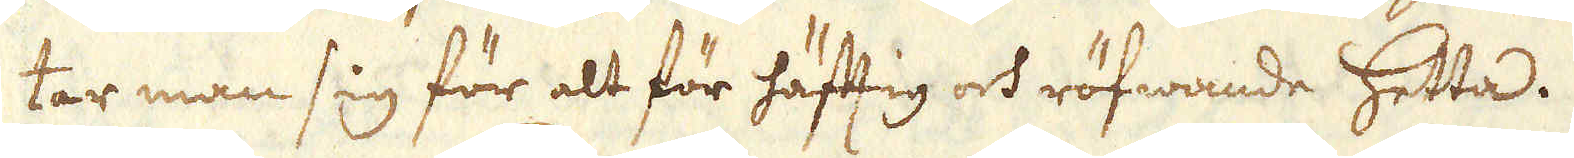tar man sig för alt för häfftig och röfwande hetta.
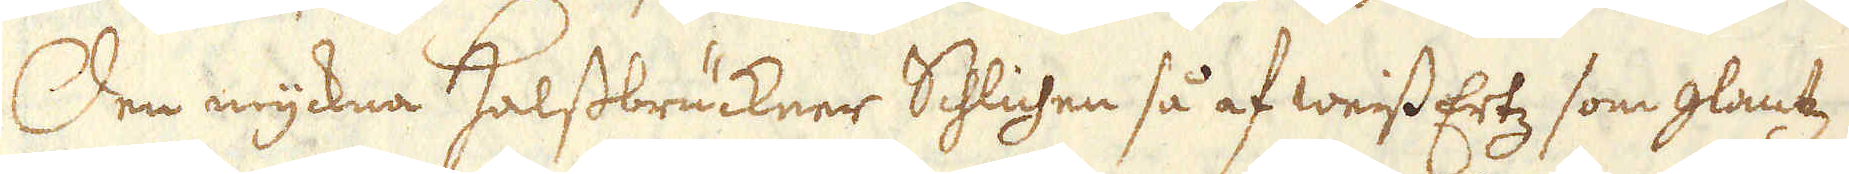Den myckna Halssbrückner Schlichen så af weiss Ertz som glantz
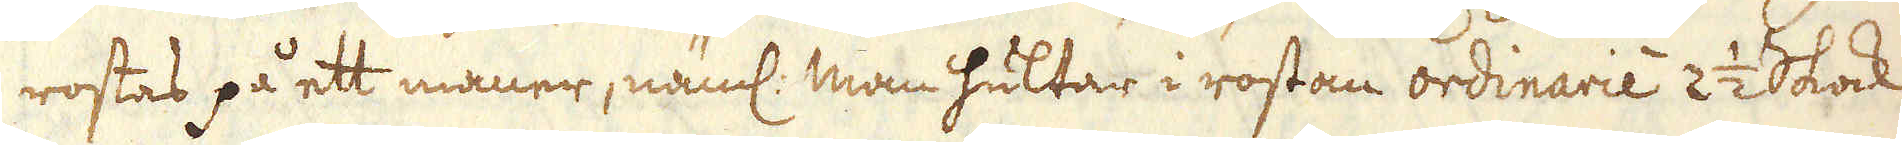rostas på ett maner, näml: man hultar i rostan ordinarie 2 1/2 Skock
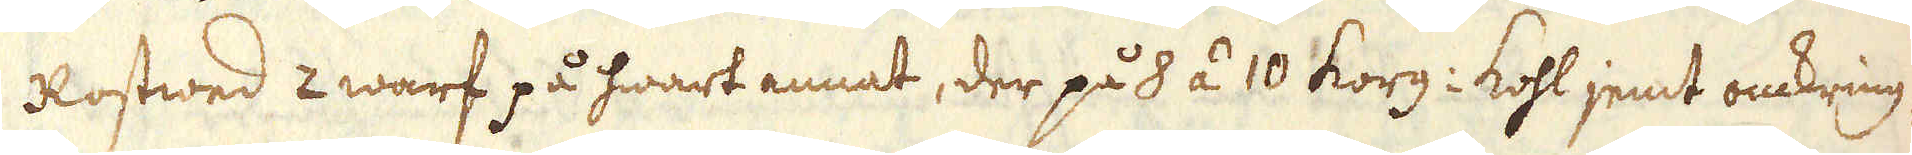Rostwed 2 warf på hwart annat, der på 8 á 10 korg: kohl jemt omkring-
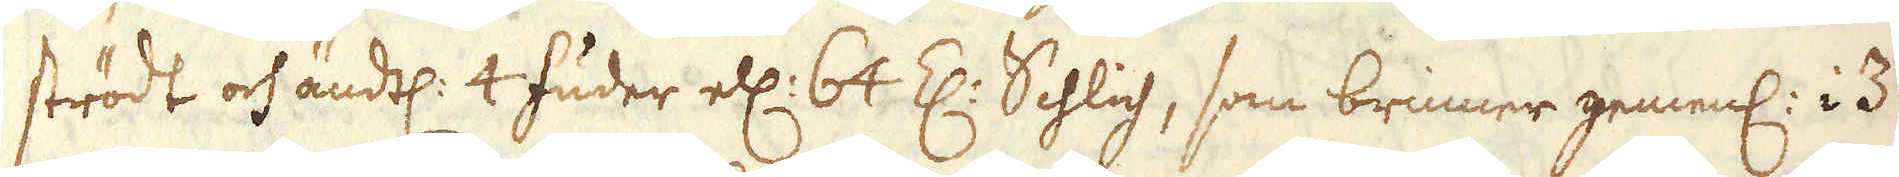strödt och ändtl: 4 fuder ell: 64 Z: Schlich, som brinner gemenl: i 3
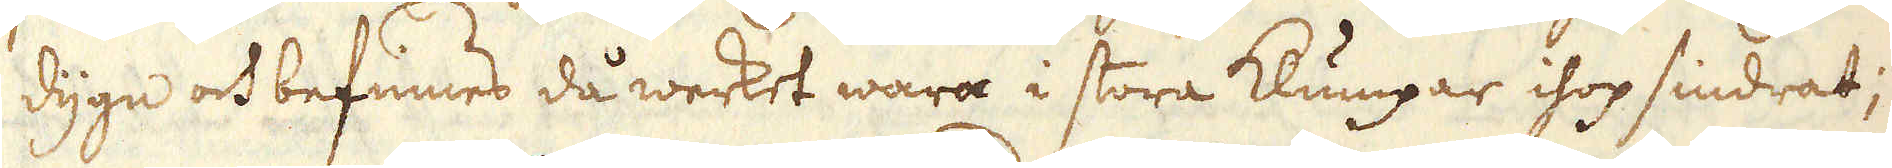dygn och befinnes då werket wara i stora klumpar ihop sindrat;
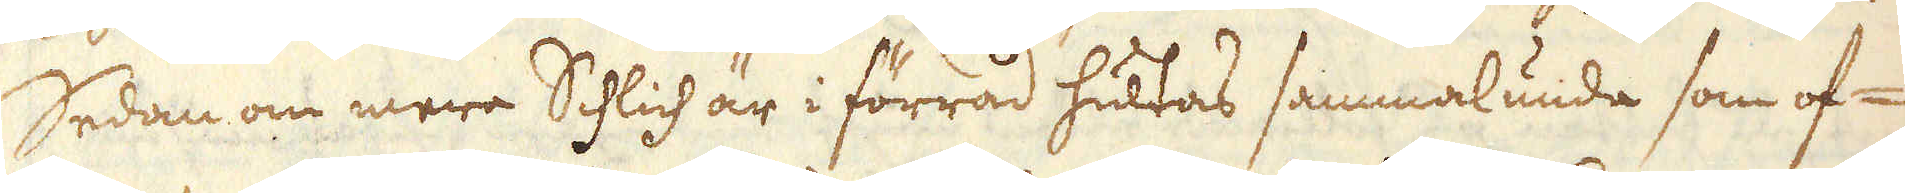Sedan om mera Schlich är i förråd hultas sammalunda som of-
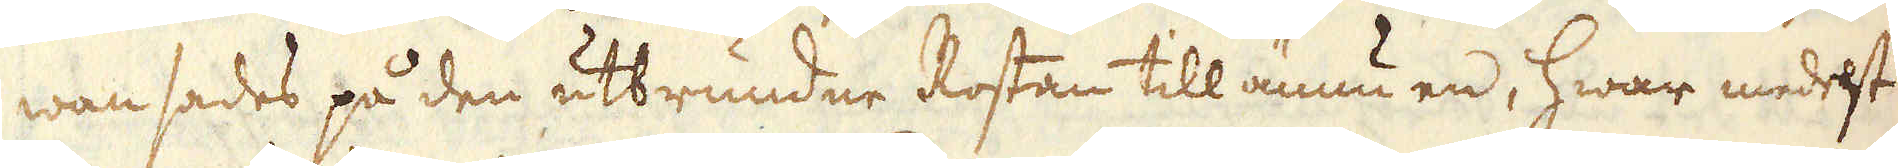wan sades på den utbrundne Rostan till ännu en, hwar medelst
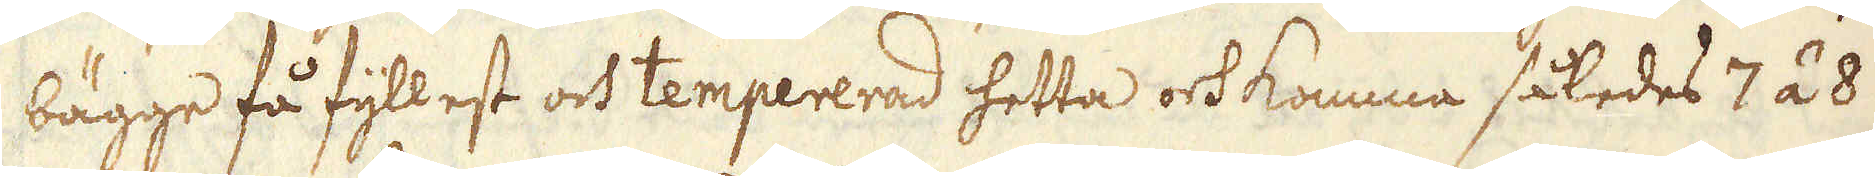bägge få fyllest och tempererad hetta och komma således 7 á 8
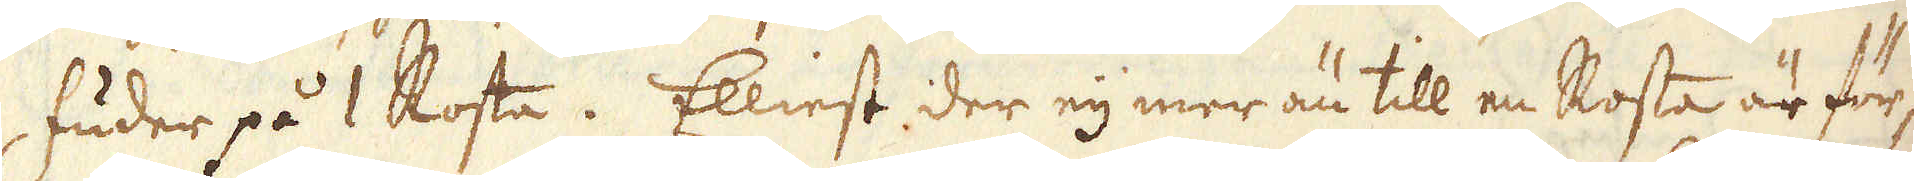fuder på 1 Rosta. Elliest der eij mer än till en Rosta är för-
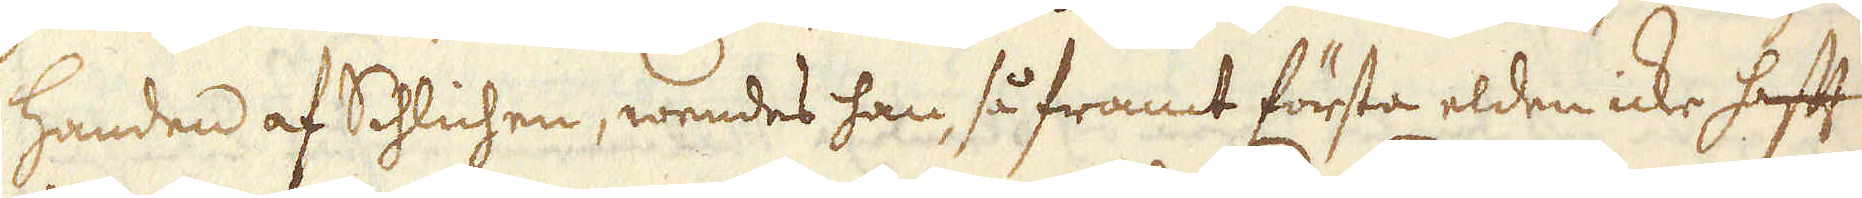handen af Schlichen, wendes han, så framt första elden icke hafft
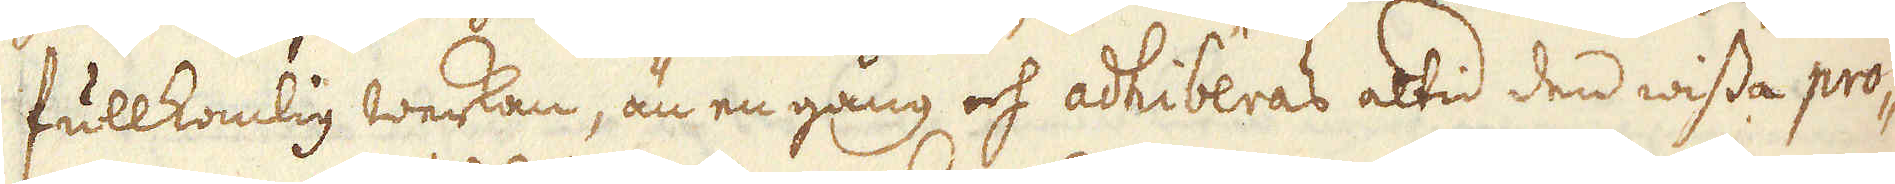fullkomlig werkan, än en gång och adhiberas altid den wissa pro-
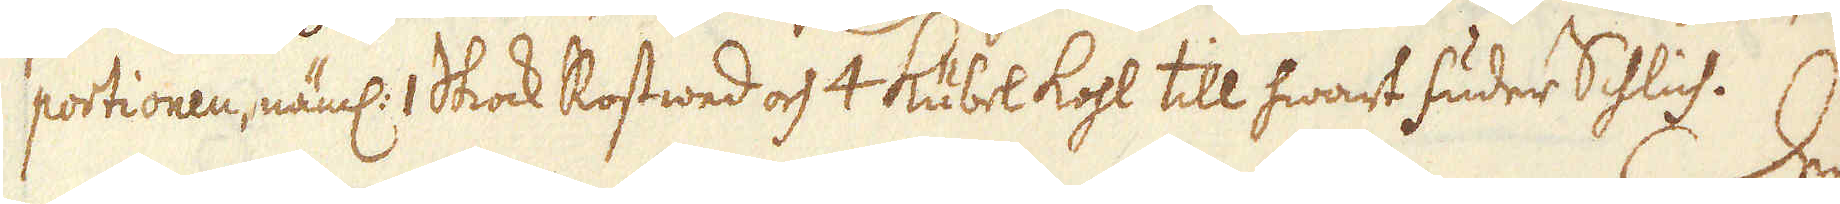portionen, näml: 1 Skock Rostwed och 4 Kübel kohl till hwart fuder Schlich. 
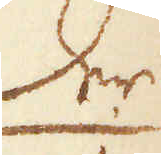Der
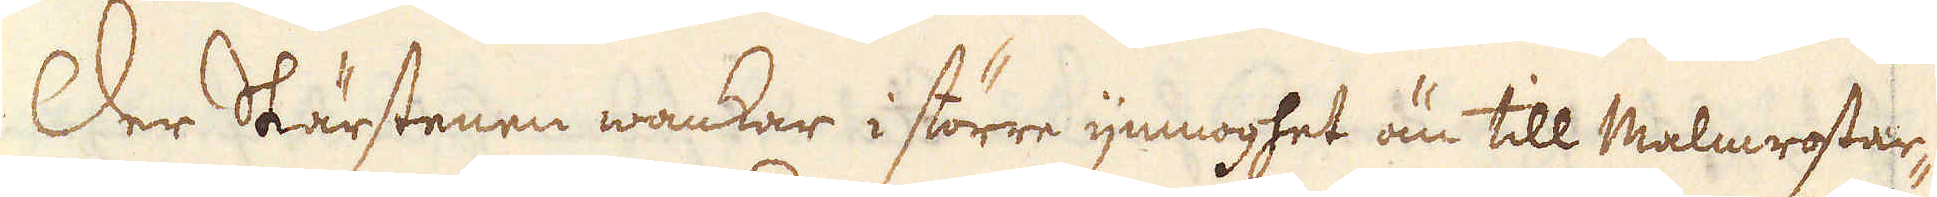Der Skärstenen wankar i större ymnoghet än till Malmrostar-
